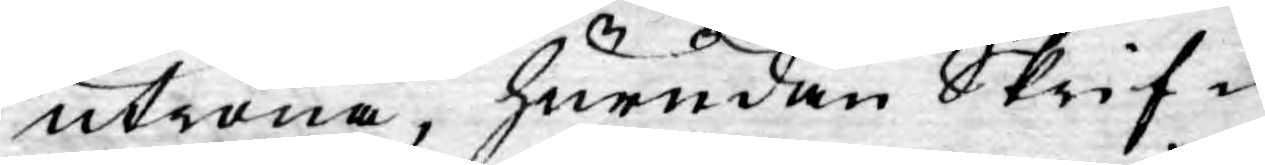utröna, hurudan Skrif¬
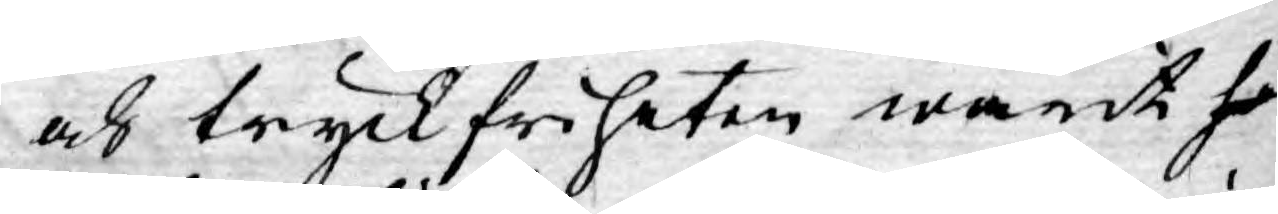och tryckfriheten warit ho
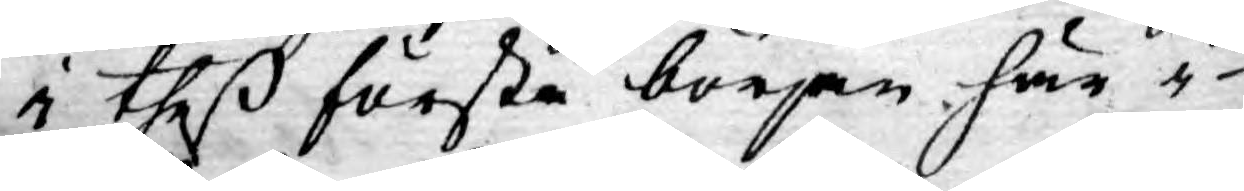i theß första början här i
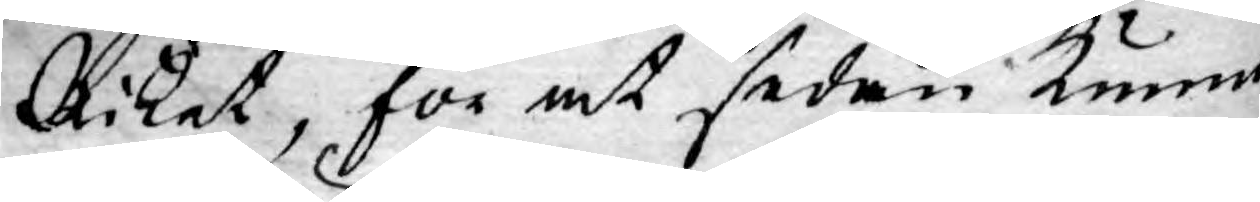Riket, för at sedan kunna
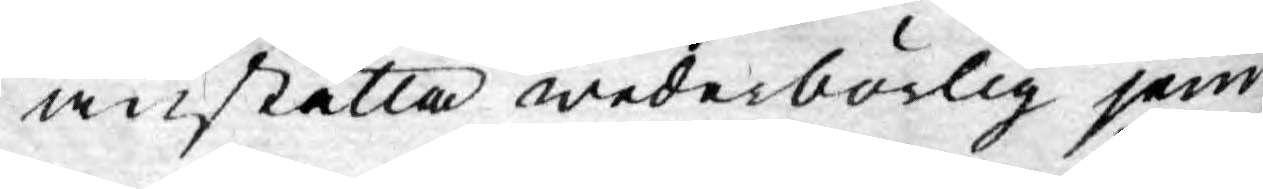anställa wederbörlig jem¬
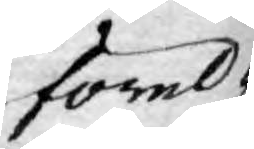förel¬
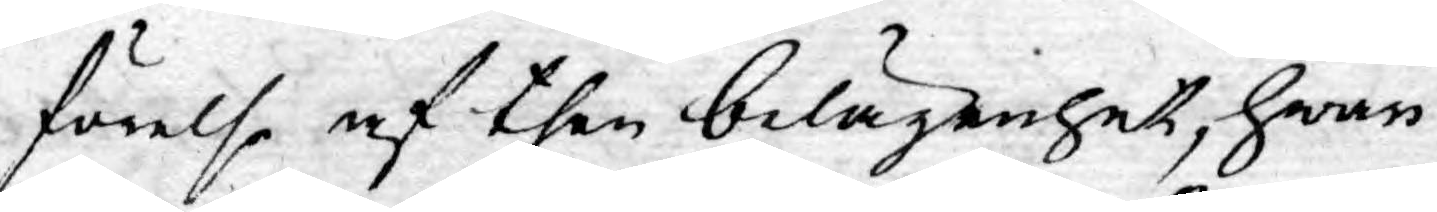förelse af then belägenhet, hwar
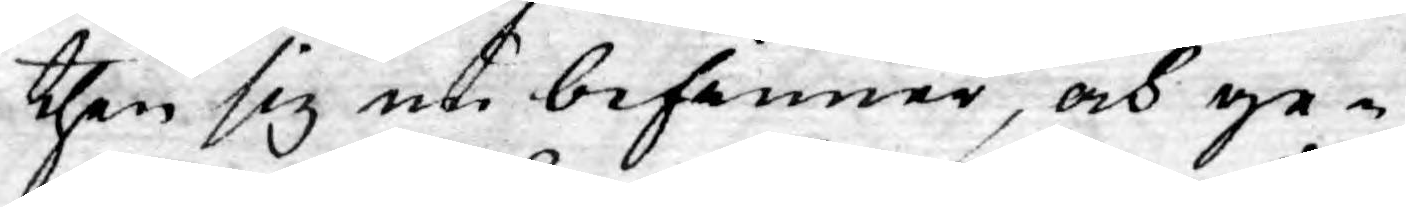then sig uti befinner, och ge¬
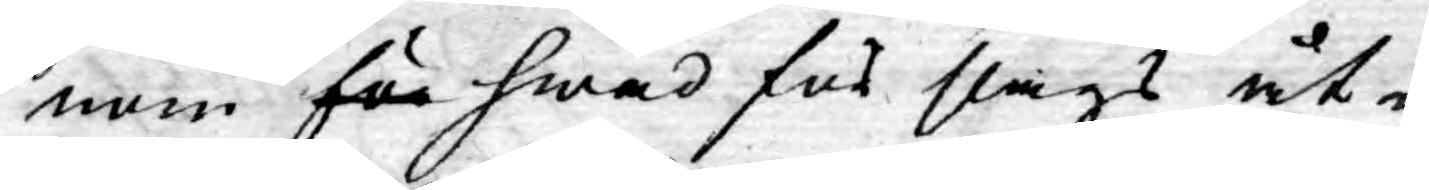nom för hwad för slags åt¬
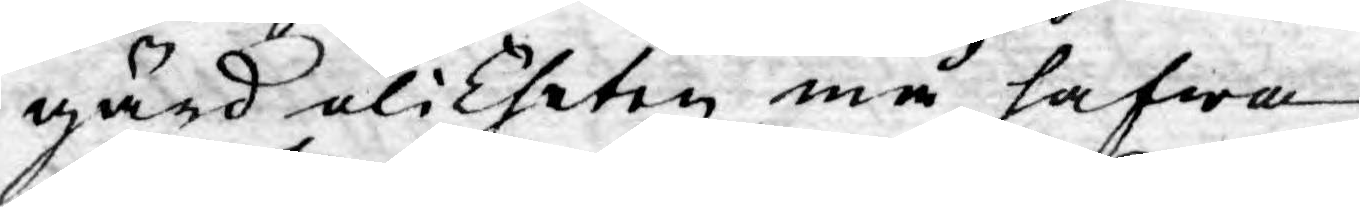gärd olikheten må hafwa
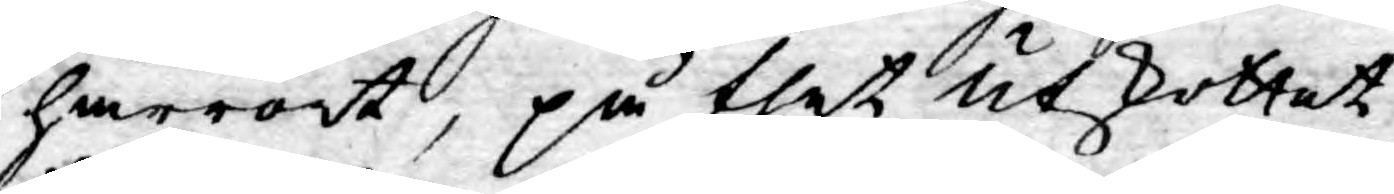härrört, på thet Utskottet
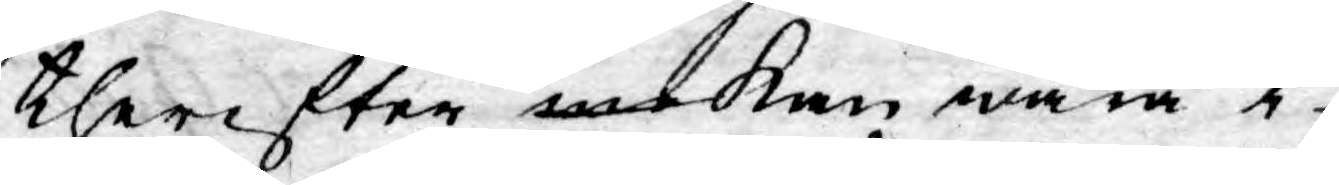therefter me kan wara i
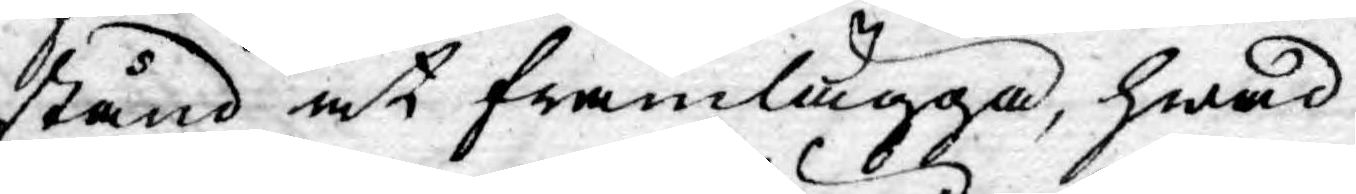stånd at framlägga, hwad
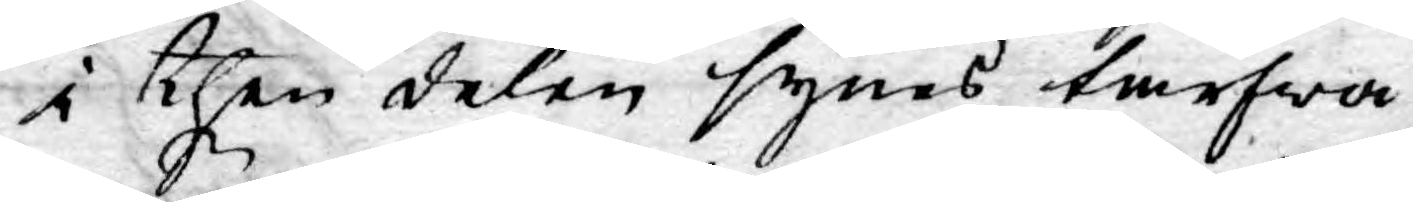i then delen synes tarfwa
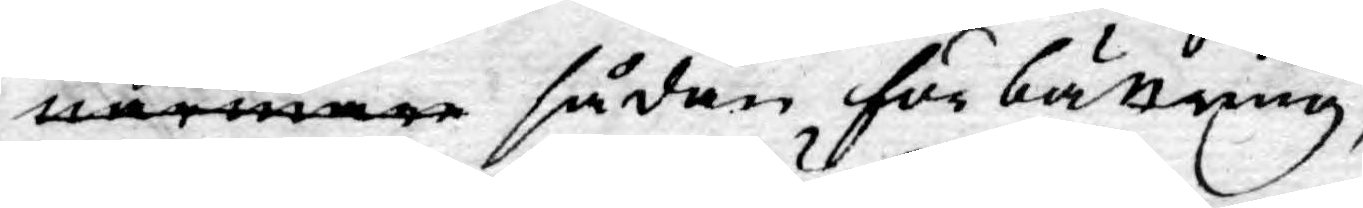närmare sådan förbättring,
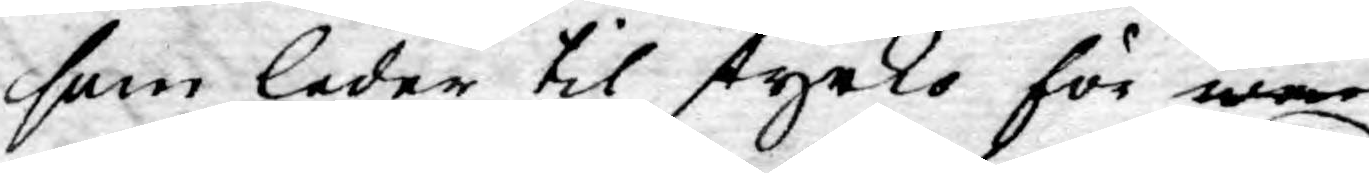som leder til styrko för war
